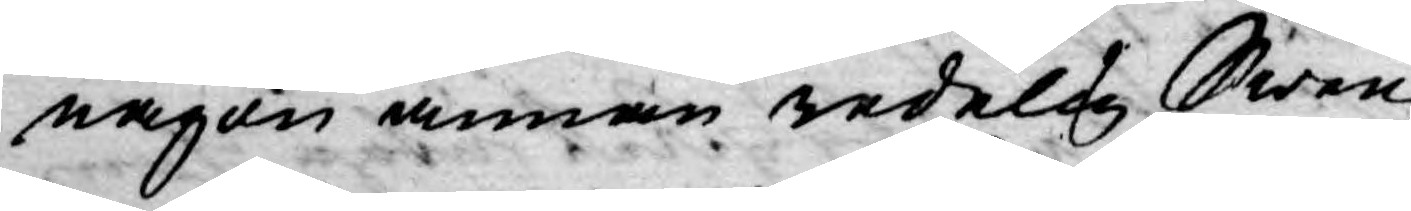någon annan redelig Swensk
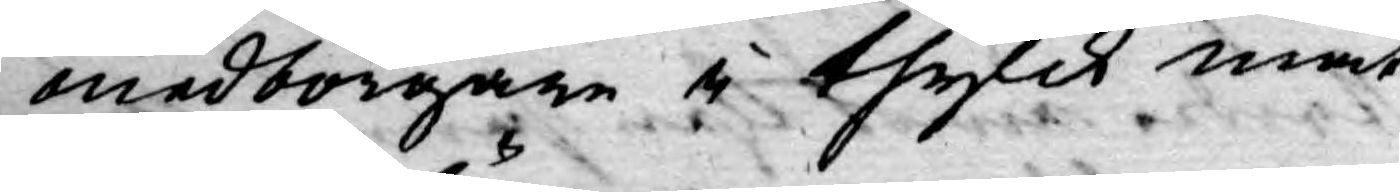medborgare i thylik måt¬
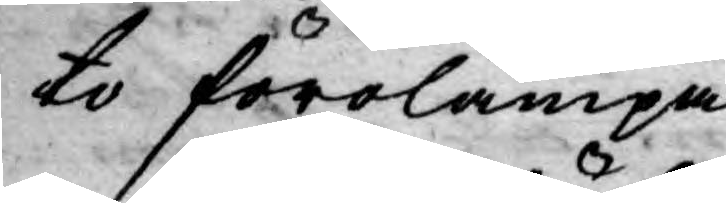to förolämpa.
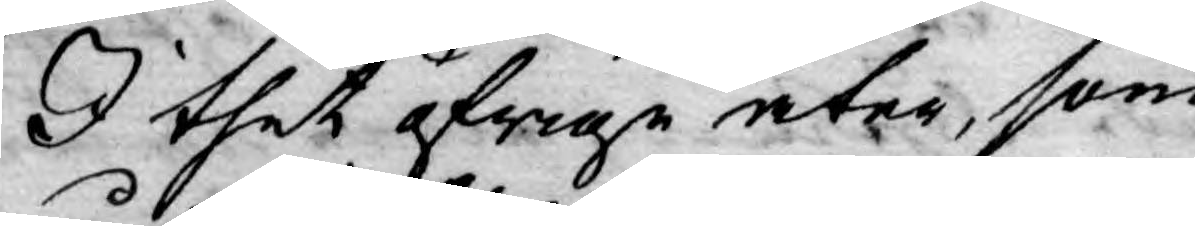I thet öfrige åter, som
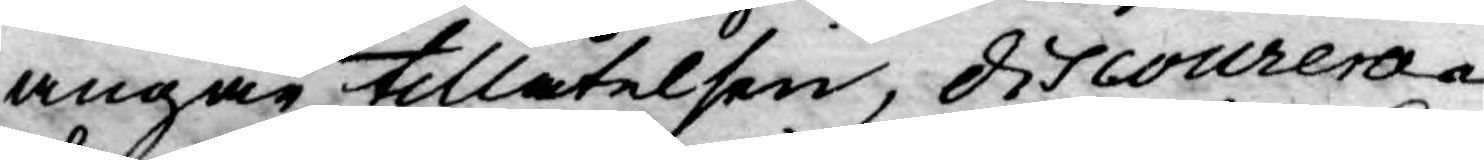angår tillåtelsen, discourera¬
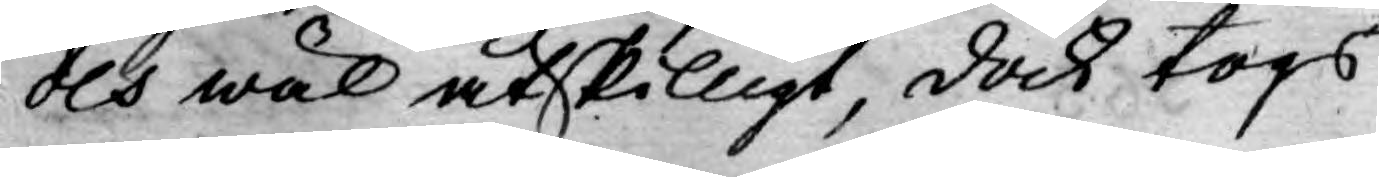des wäl åtskilligt, dock togs
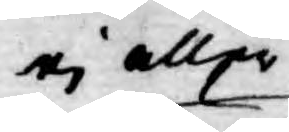ej aller
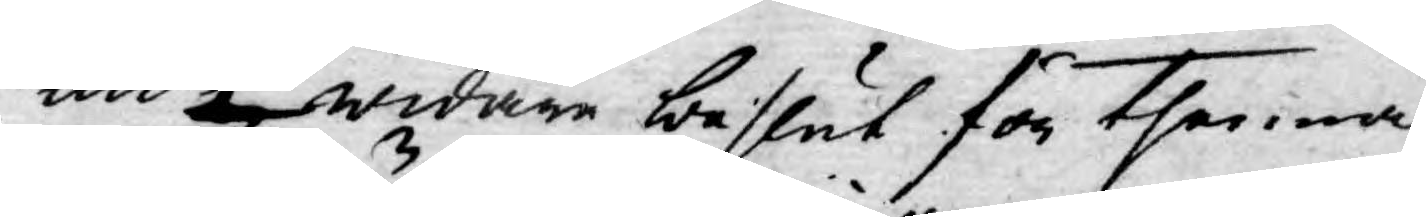nu ej widare beslut för thenna
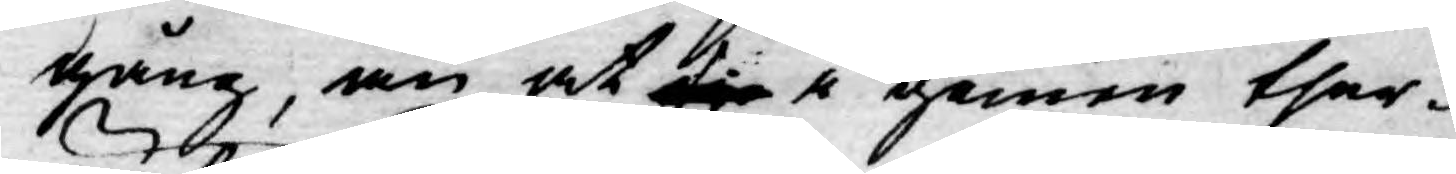gång, än at sig i gemen ther¬
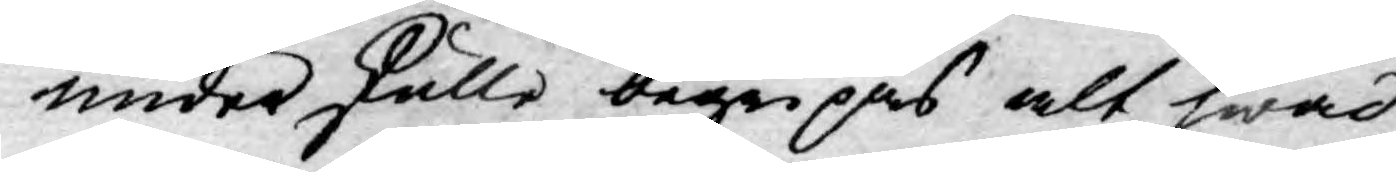under skulle begripas alt hwad
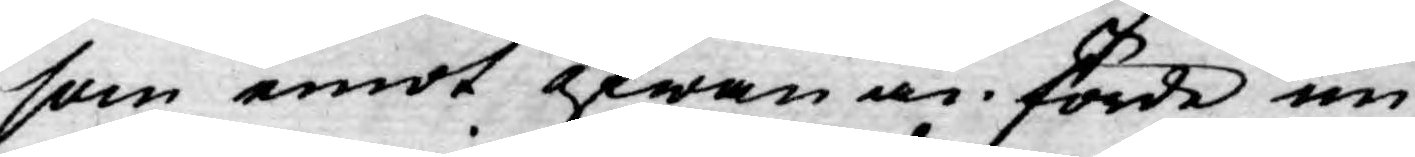som emot ofwan anförde un¬
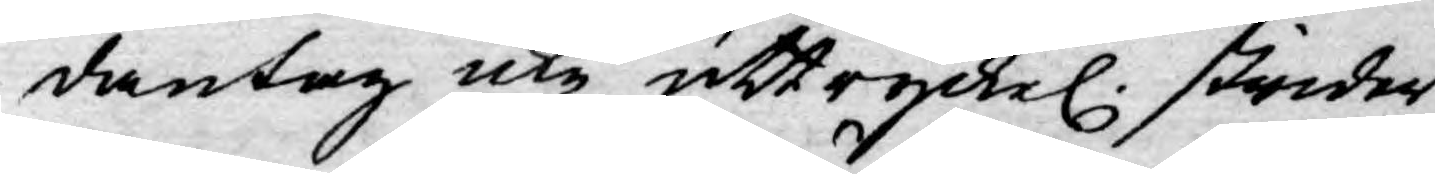dantag icke uttryckel. strider,
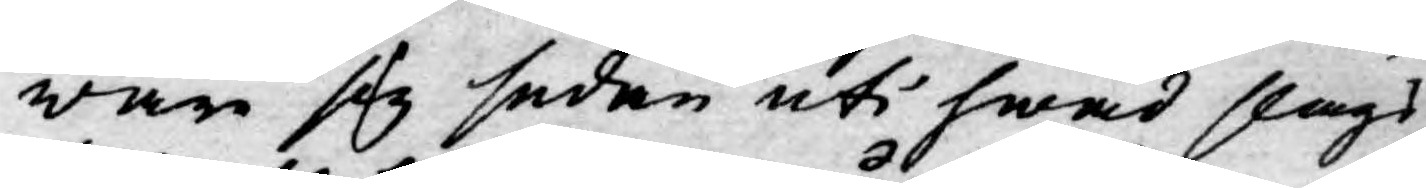war sig sedan uti hwad slags
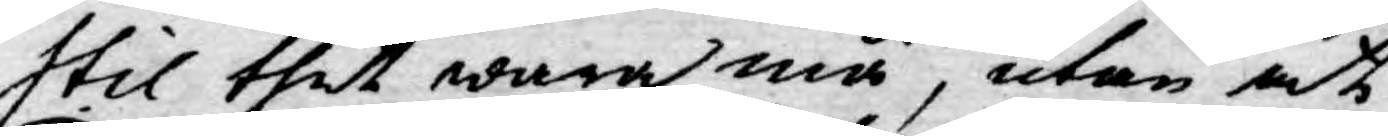stil thet wara må, utan at
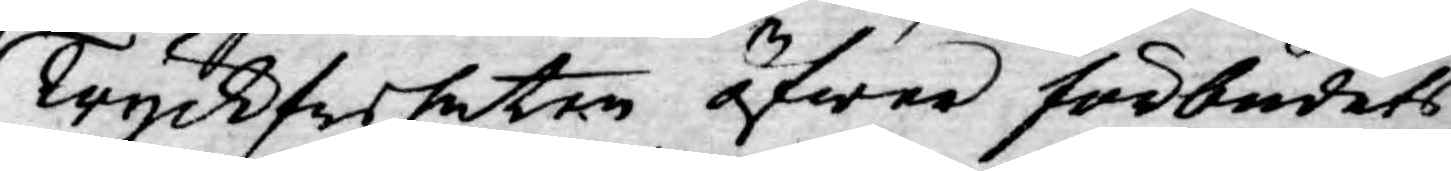Tryckfriheten öfwer förbudets
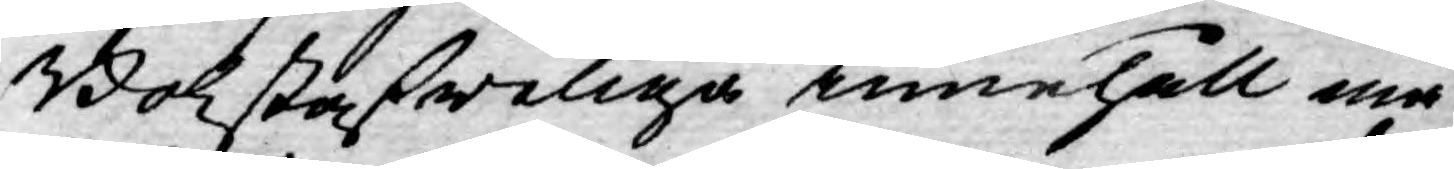Bokstafweliga innehåll må
